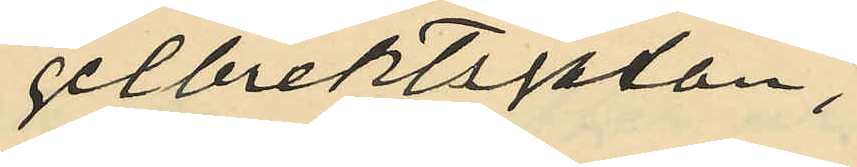gelbrektsgatan,
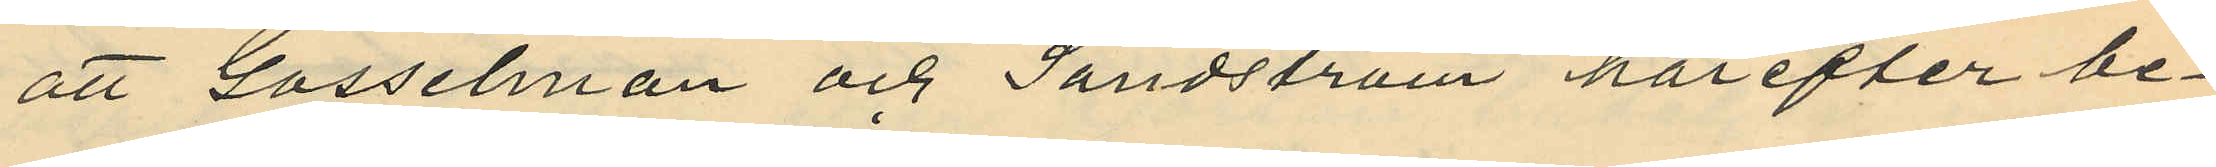att Gosselman och Sandström härefter be¬
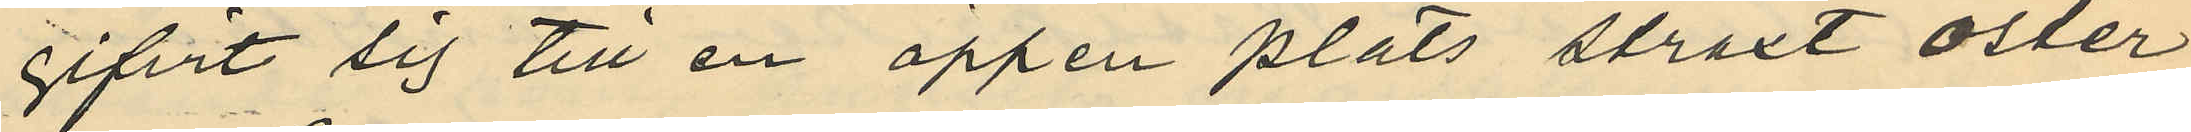gifvit sig till en öppen plats straxt öster
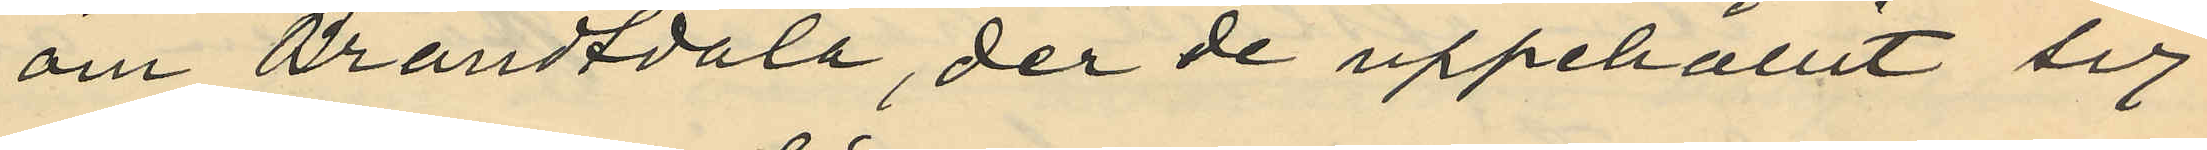om Brandtdala, der de uppehållit sig
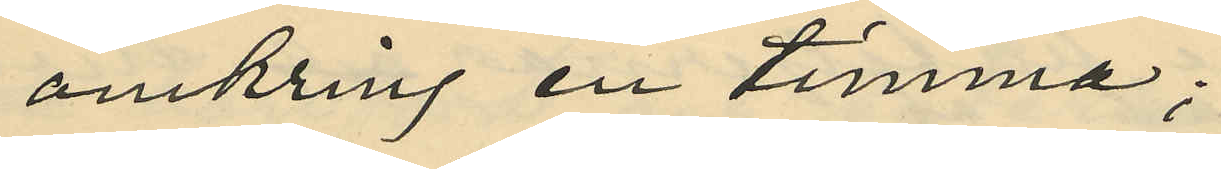omkring en timma;
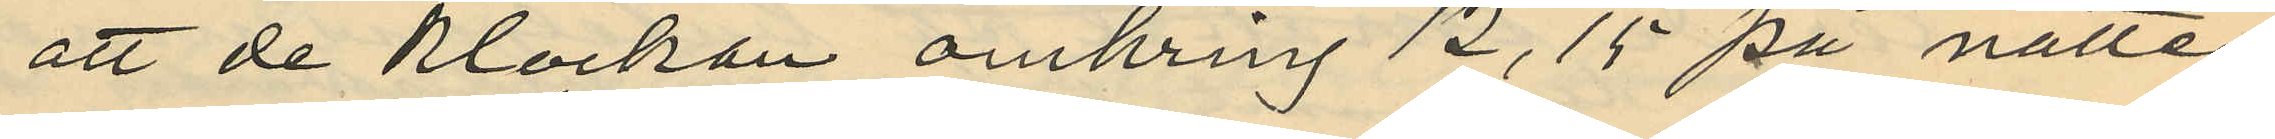att de klockan omkring 12,15 på natten
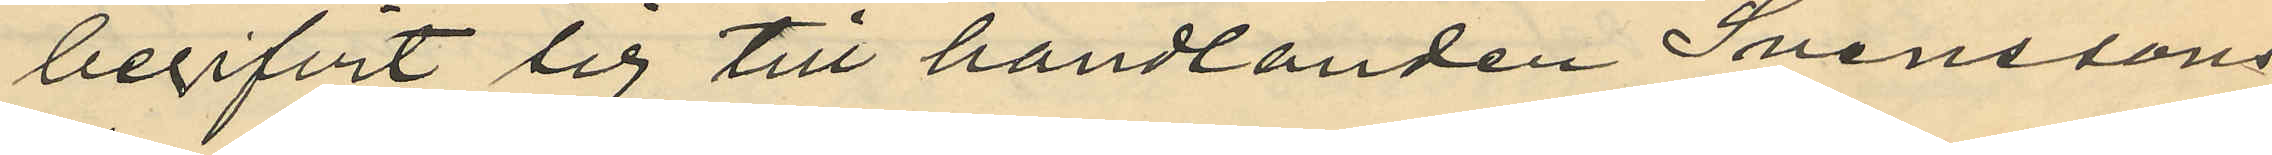begifvit sig till handlanden Svenssons
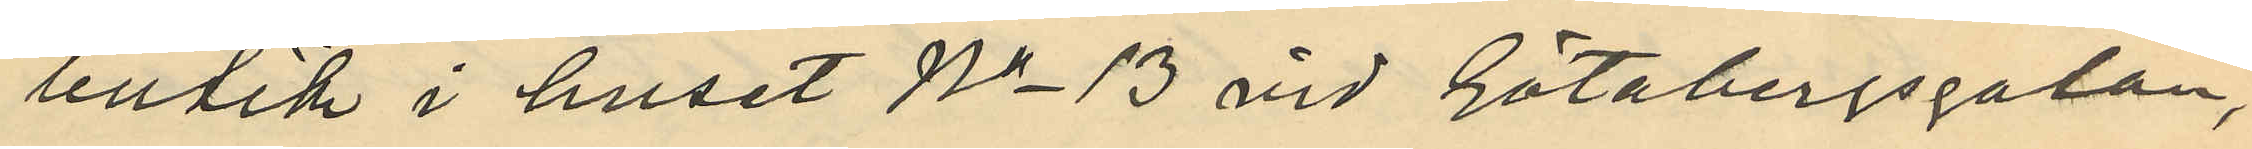butik i huset No 13 vid Götabergsgatan,
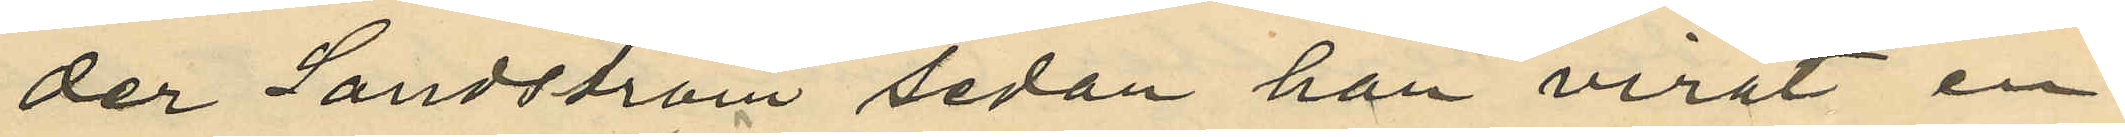der Sandström sedan han virat en
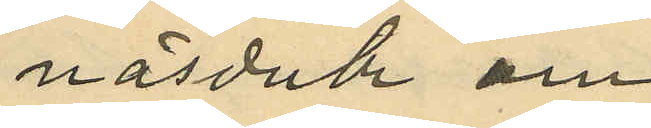näsduk om
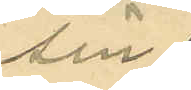sin
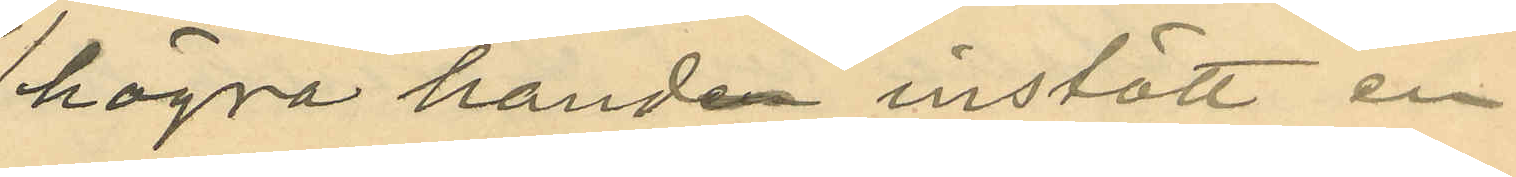högra handen instött en
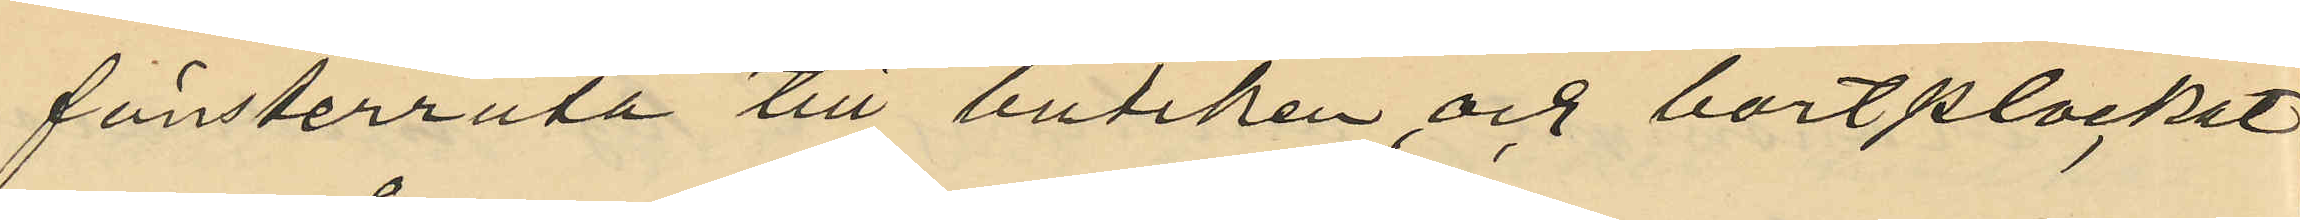fönsterruta till butiken och bortplockat
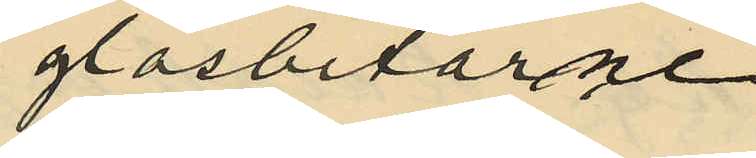glasbitarne
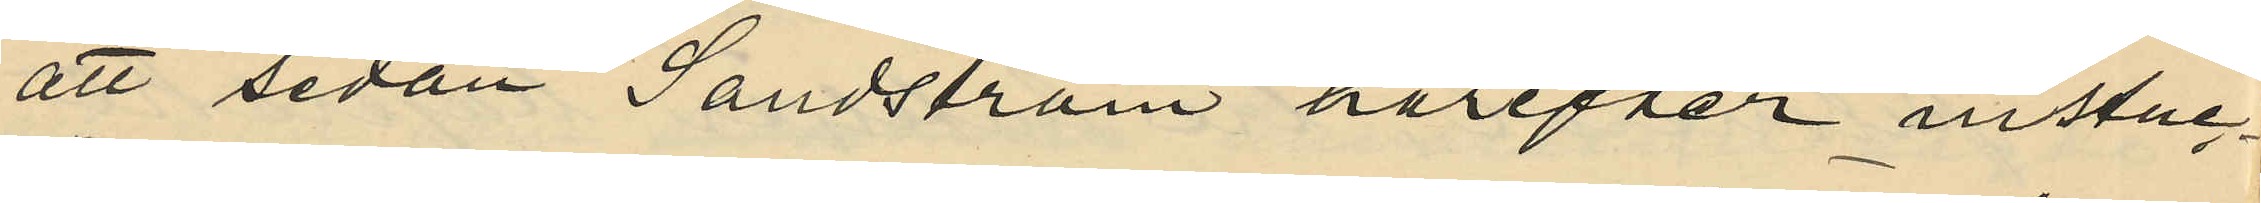att sedan Sandström härefter instuc¬
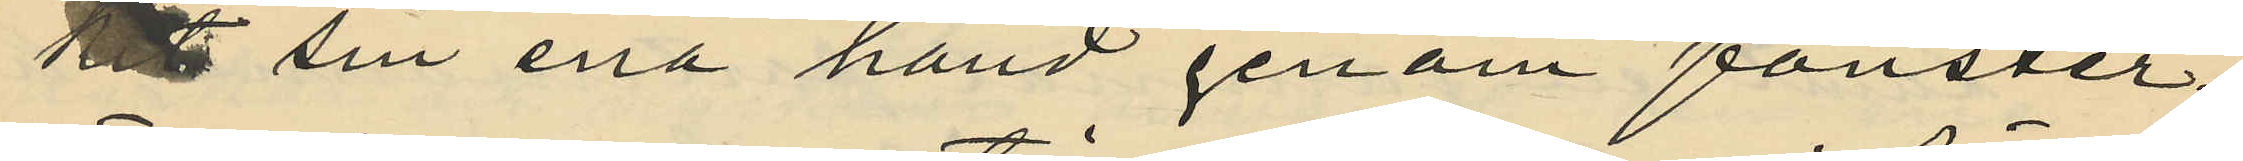kit sin ena hand genom fönster¬
